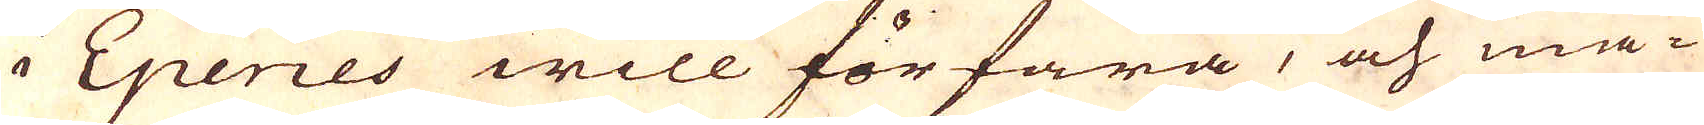i Eperies will förfara, och må-
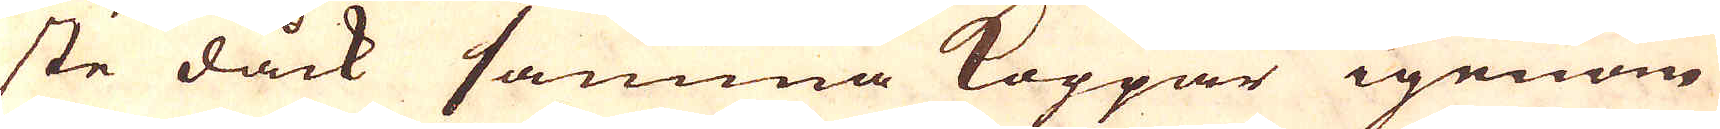ste dåck samma Koppar igenom
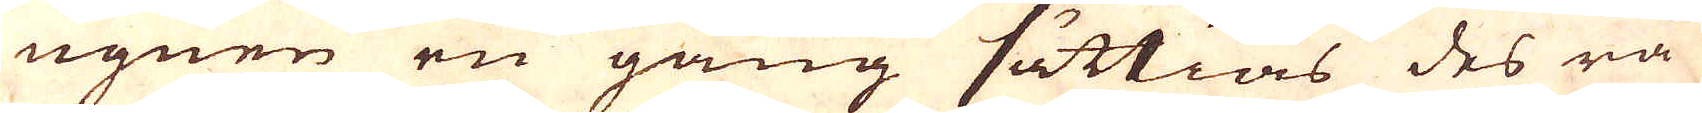ugnen en gång sättias des rå
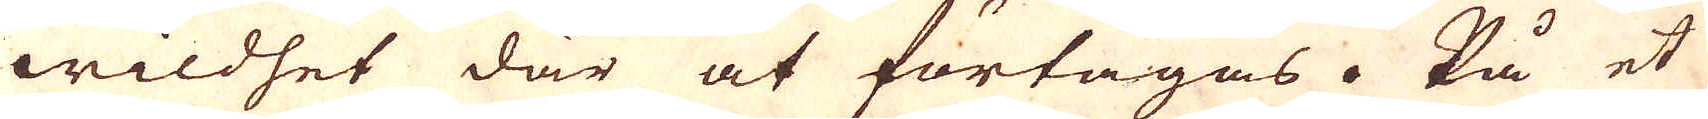wildhet där at förtagas. På et
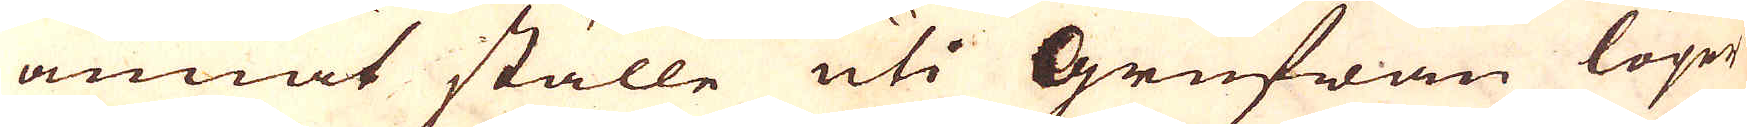annat ställe uti Grufwan löper
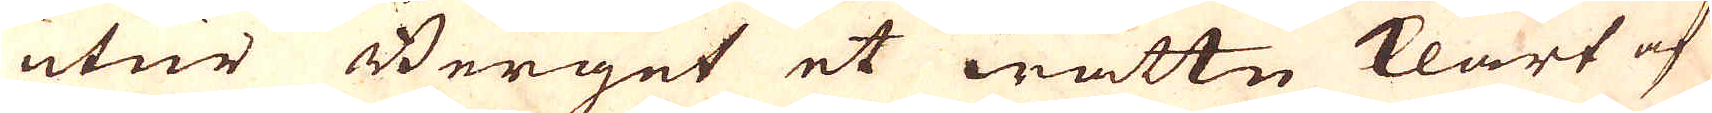utur Berget et wattn klart af
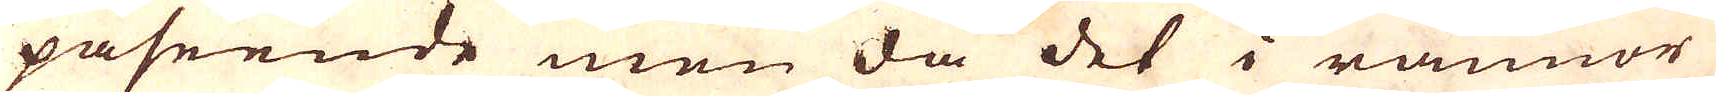påseende men då det i rännor
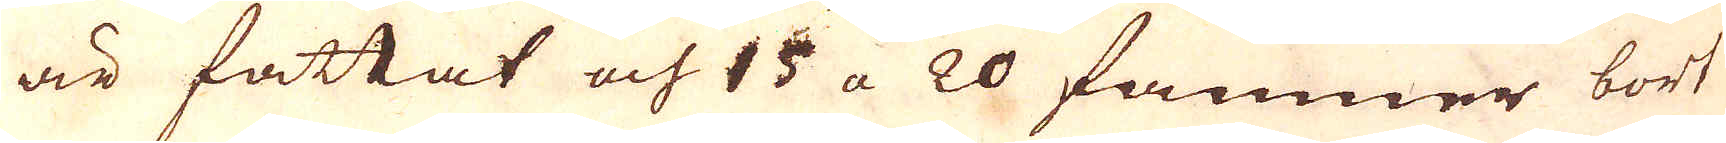är fattat och 15 a 20 famner bort
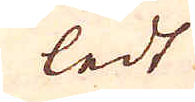ledt
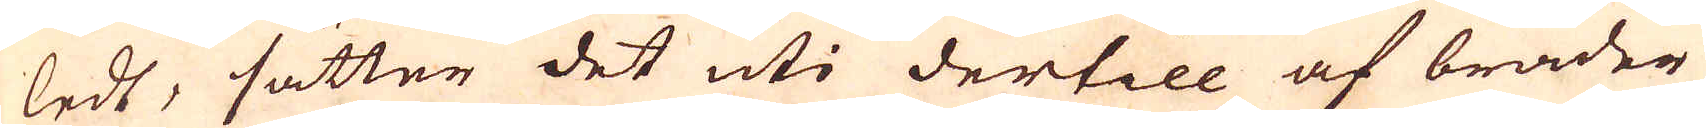ledt, sätter det uti dertill af bräder
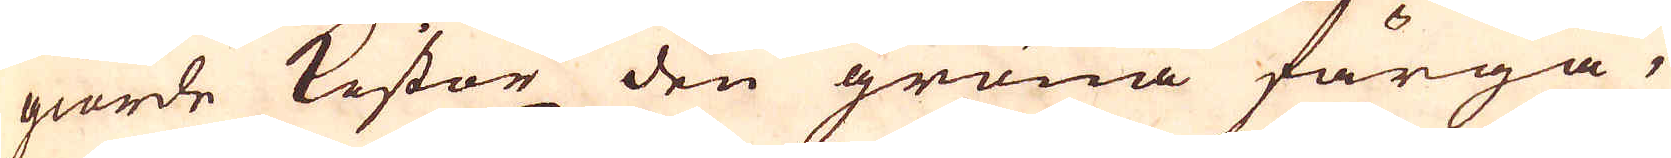giorde kistor den gröna färga,
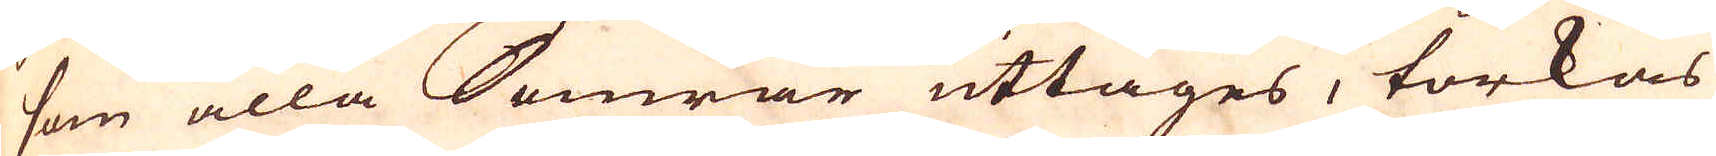som alla Somrar uttages, torkas
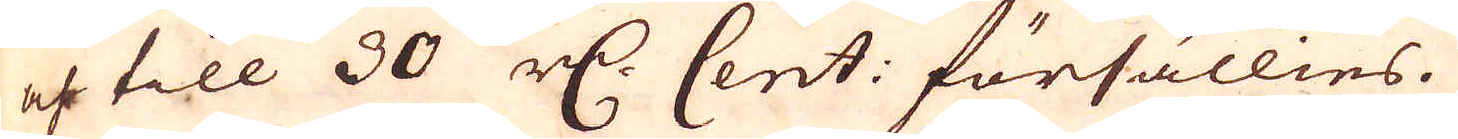och till 30 r:dr Cent: försällies.
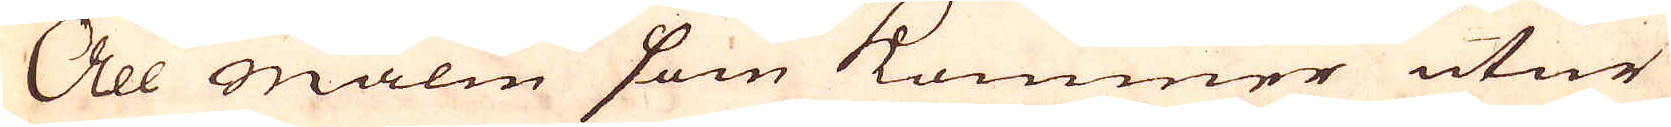All malm som kommer utur
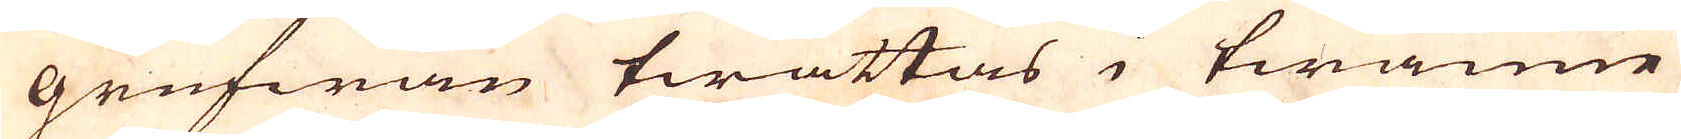grufwan twättas i twänne
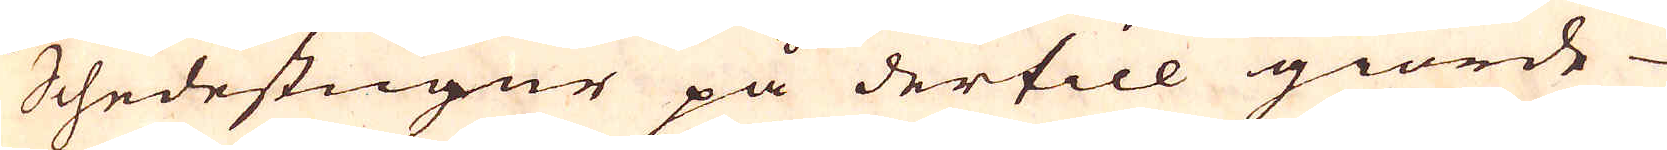Schedestugur på dertill giorde
